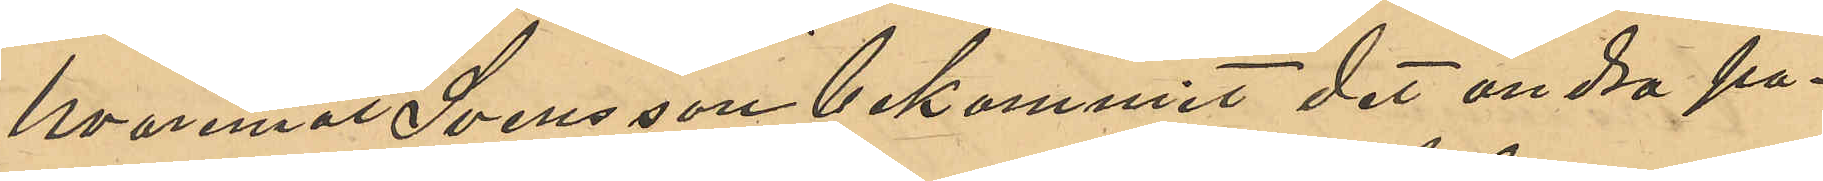hvaremot Svensson bekommit det andra pa¬
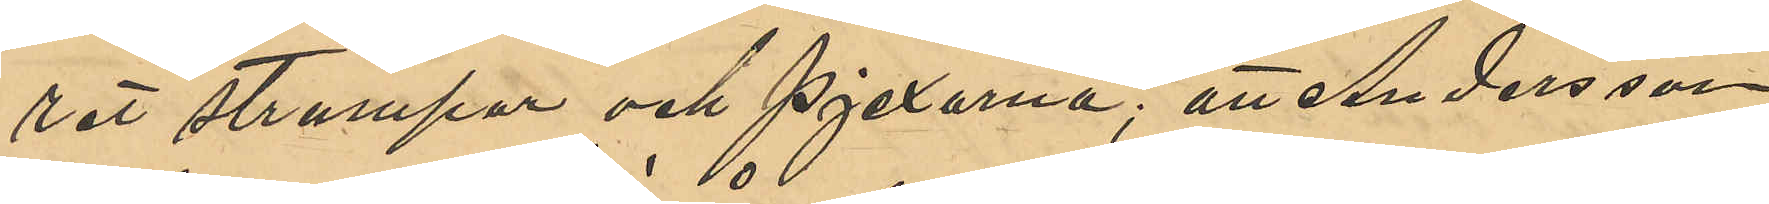ret strumpor och pjexorna; att Andersson
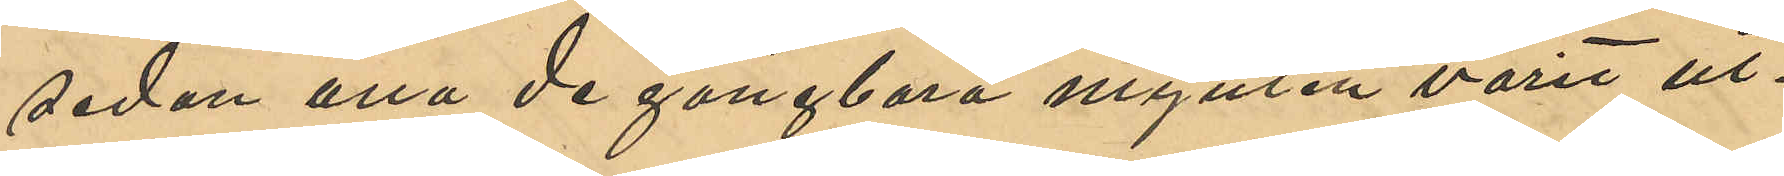sedan ena de gångbara mynten varit ut¬
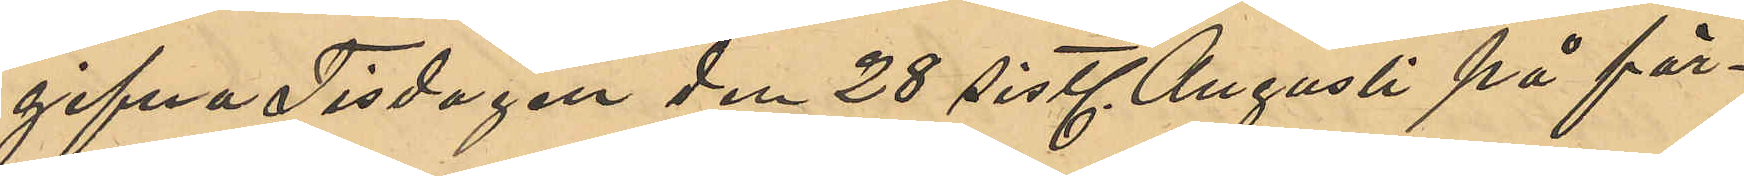gifna Tisdagen den 28 sistl. Augusti på för¬
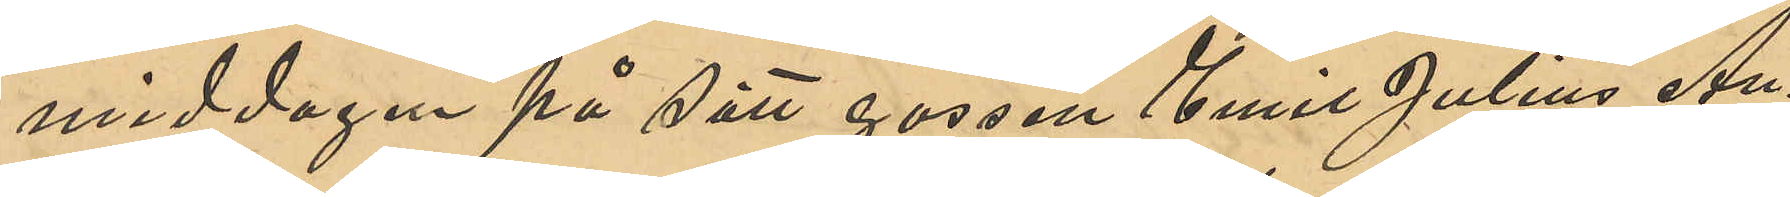middagen på sätt gossen Emil Julius An¬
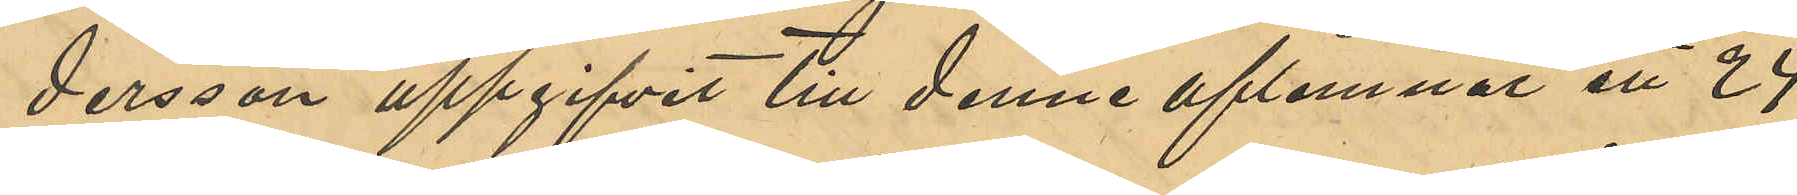dersson uppgifvit till denne aflemnat ett 24
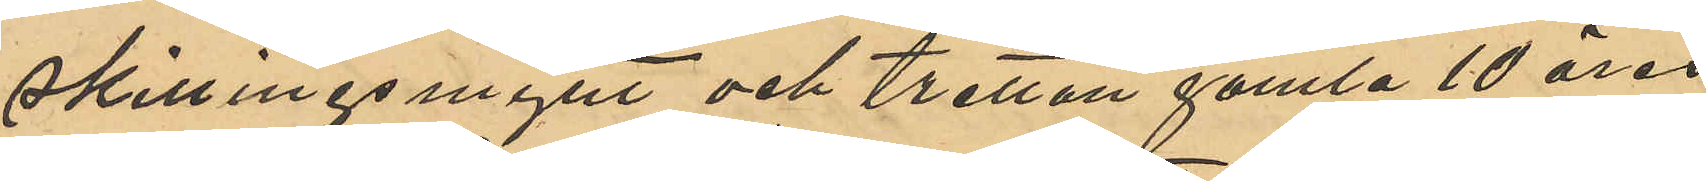skillingsmynt och tretton gamla 10 öres
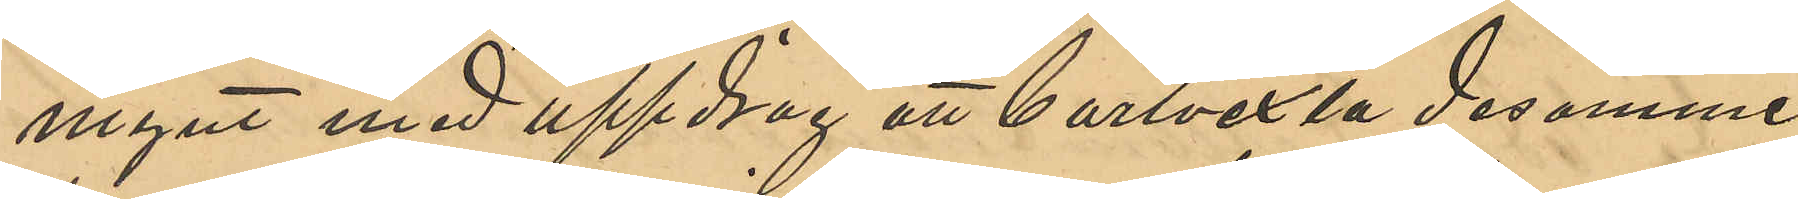mynt med uppdrag att bortvexla desamme
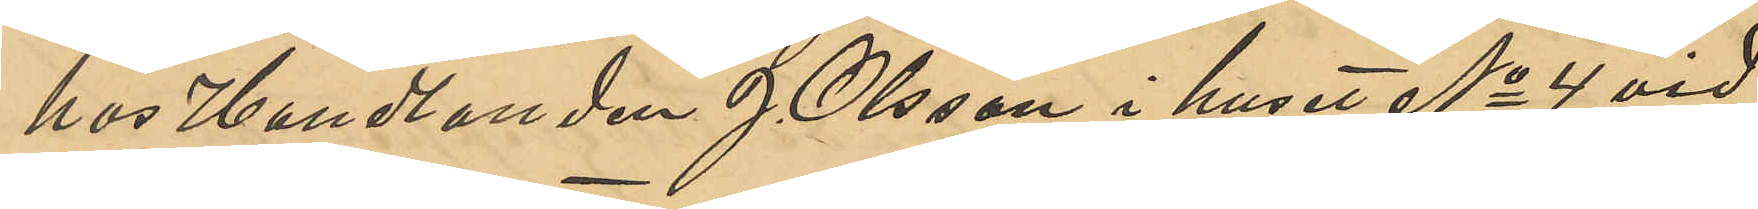hos Handlanden J. Olsson i huset No 4 vid
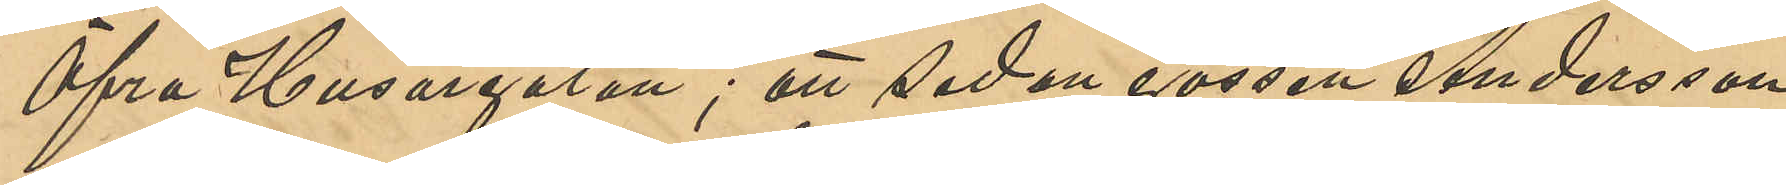Öfra Husargatan; att sedan gossen Andersson
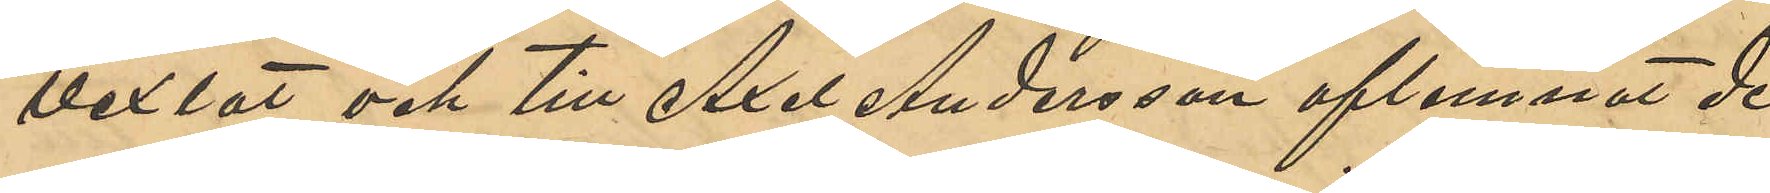vexlat och till Axel Andersson aflemnat de
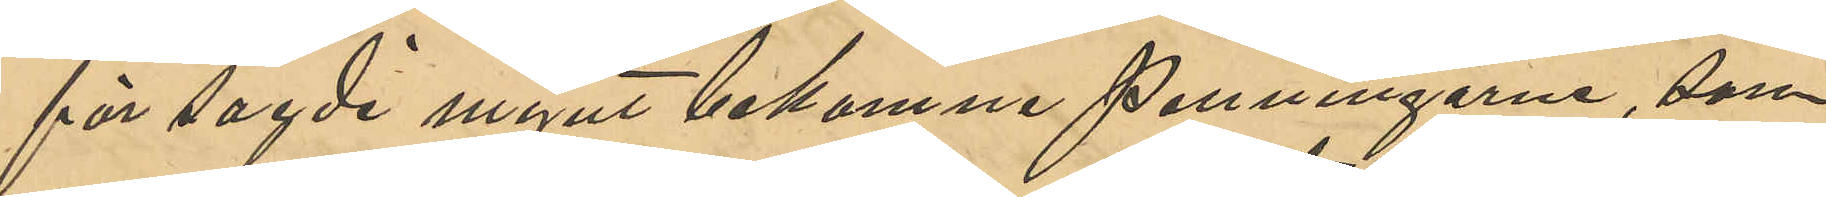för sagde mynt bekomne penningarne, som
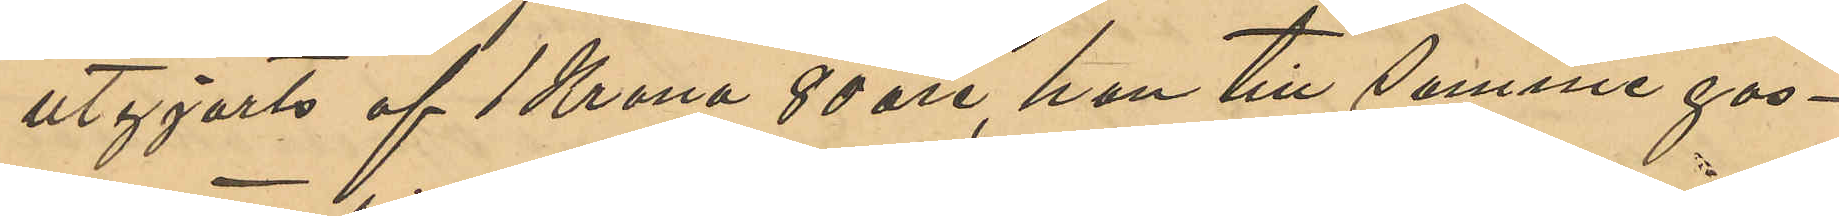utgjorts af 1 Krona 80 öre, han till samme gos¬
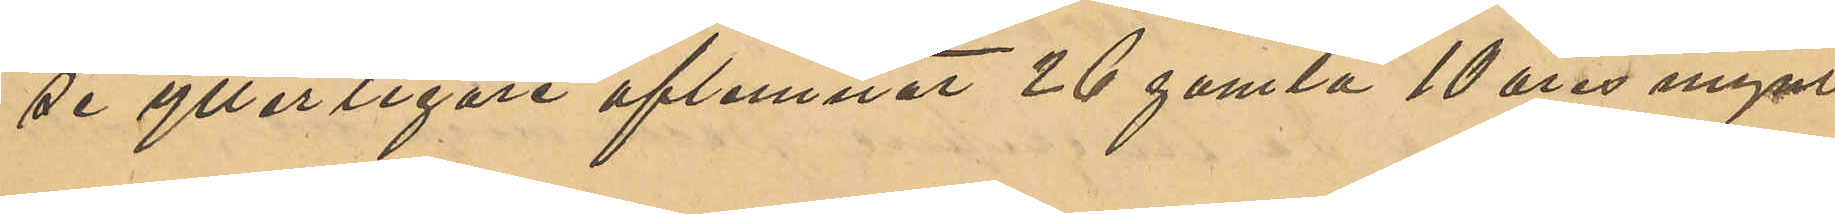se ytterligare aflemnat 26 gamla 10 öres mynt
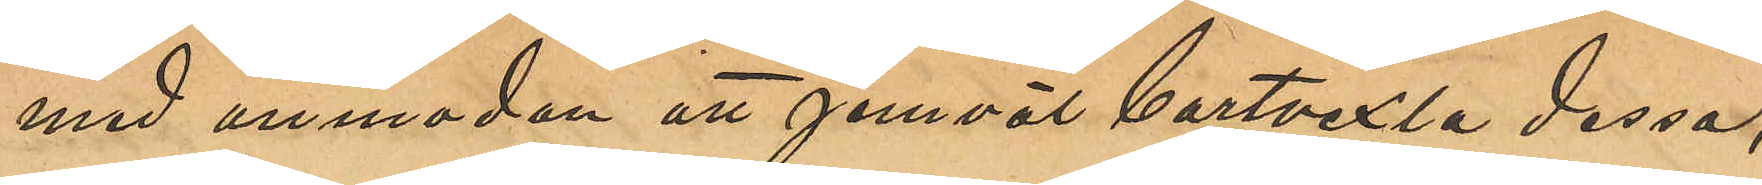med anmodan att jemväl bortvexla dessa;
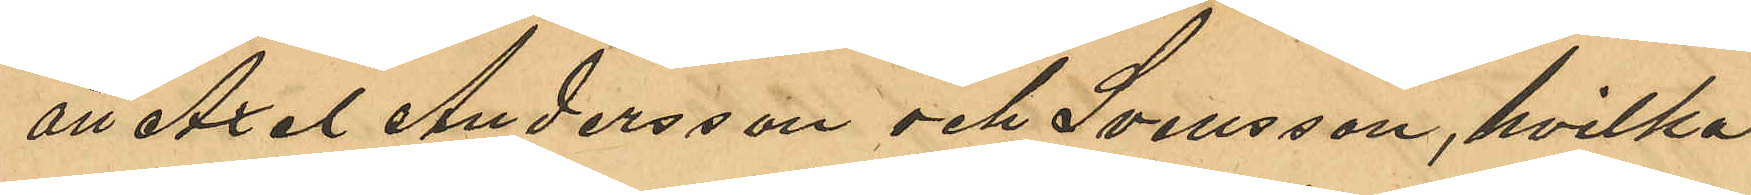att Axel Andersson och Svensson, hvilka
